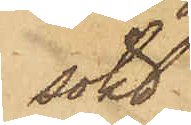sökt
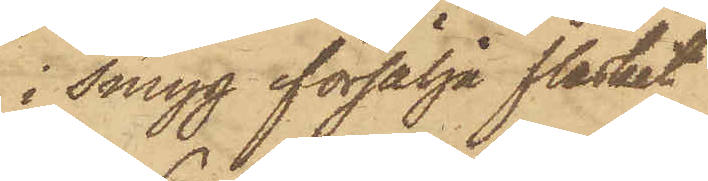i smyg försälja fläsket
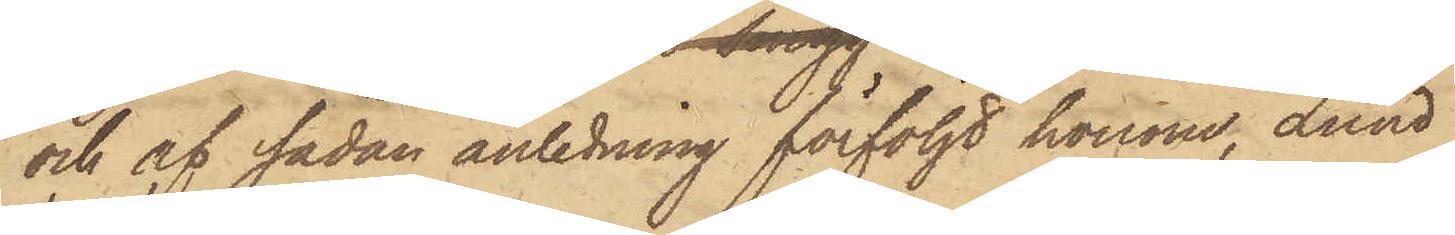och af sådan anledning förföljt honom, Lund
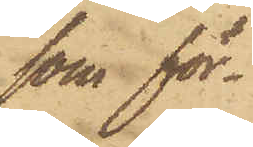som för¬
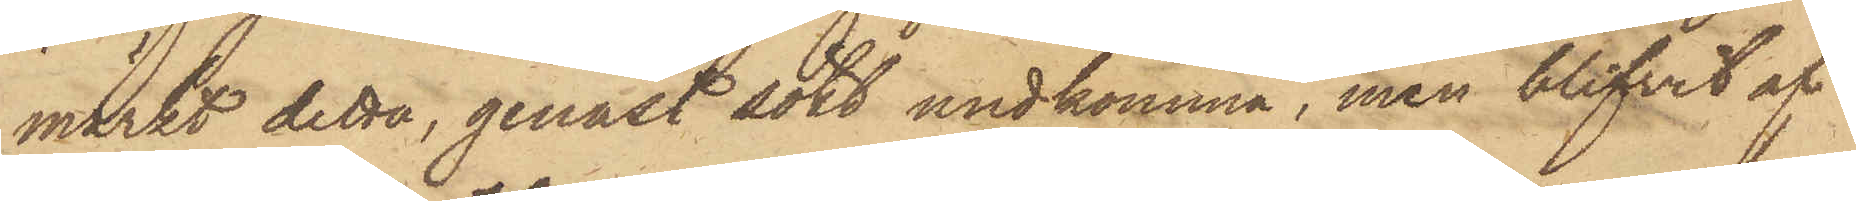märkt detta, genast sökt undkomma, men blifvit af
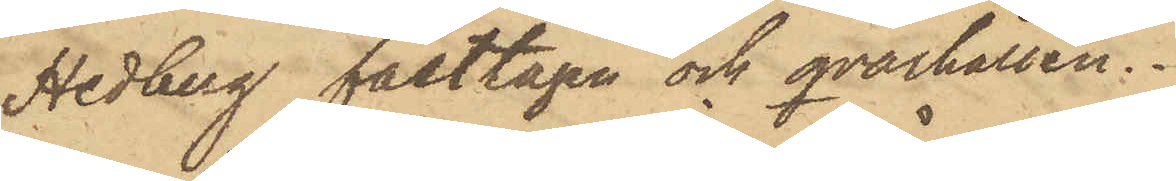Hedberg fasttagen och qvarhållen.
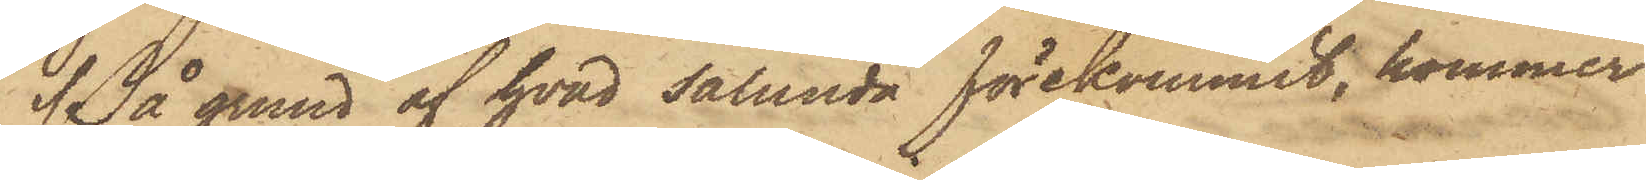På grund af hvad sålunda förekommit, kommer
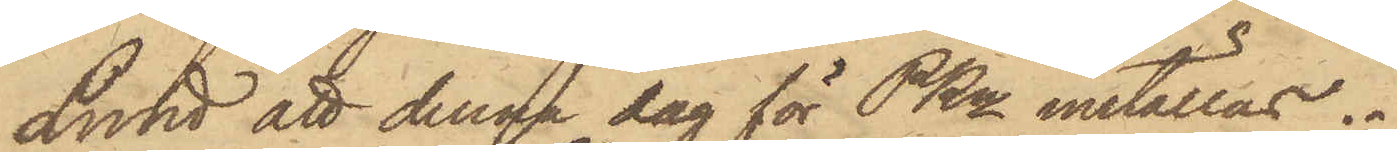Lund att denna dag för PKn inställas.
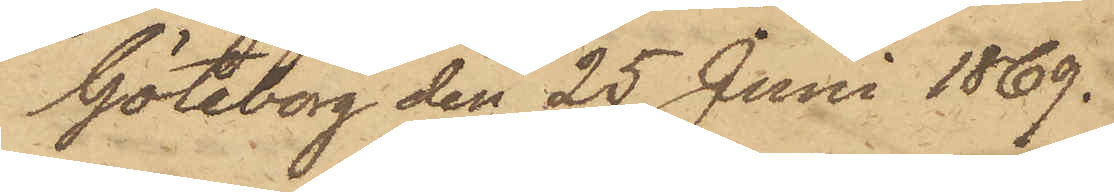Göteborg den 25 Juni 1869.
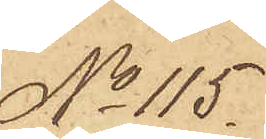No 115.
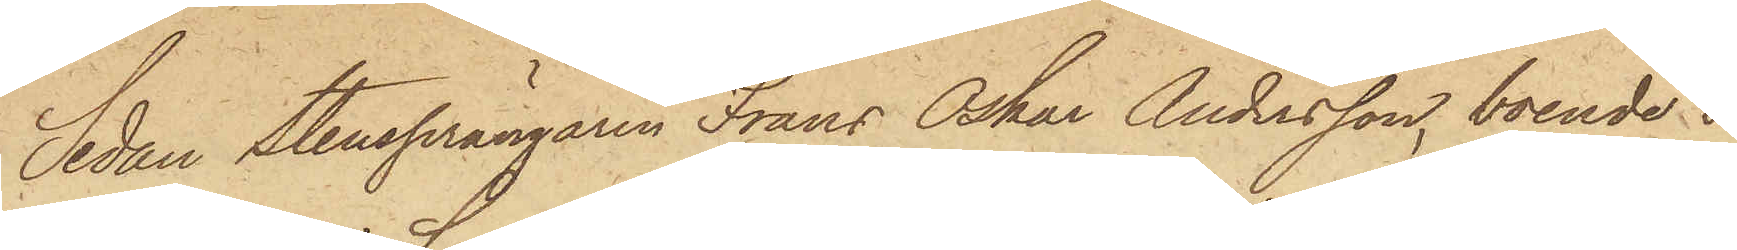Sedan Stensprängaren Frans Oskar Andersson, boende i
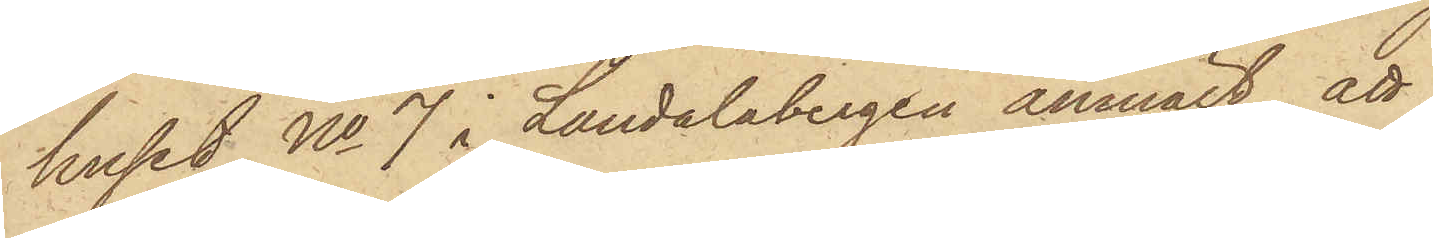huset No 7 i Landalabergen anmält, att
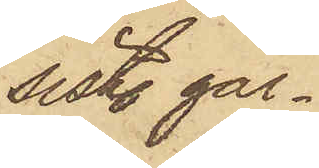sistl. går¬
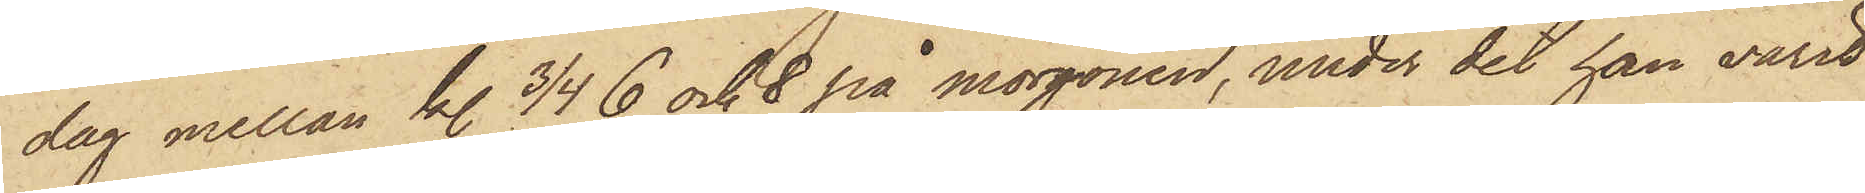dag mellan kl. 3/4 6 och 8 på morgonen, under det han varit
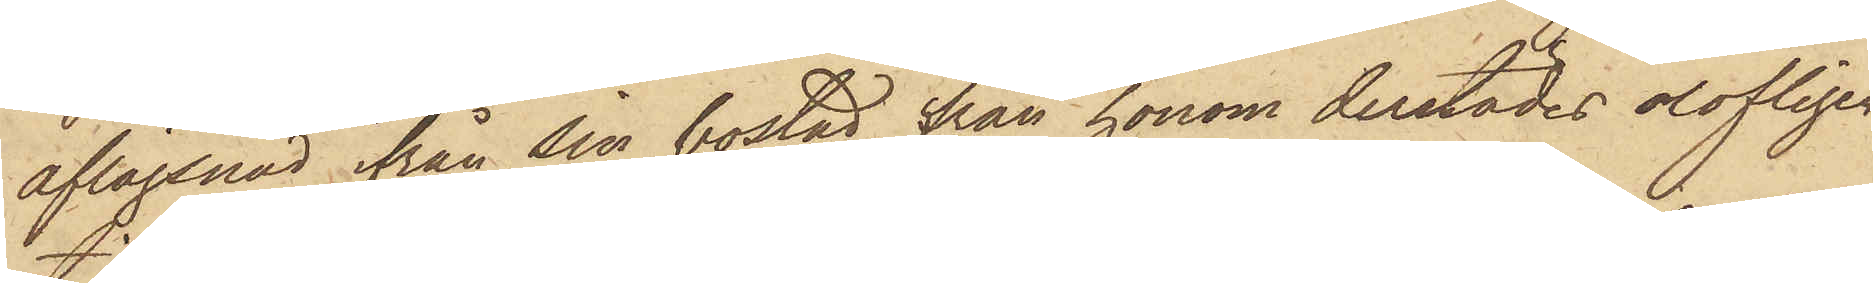aflägsnad ifrån sin bostad, från honom derstädes olofligen
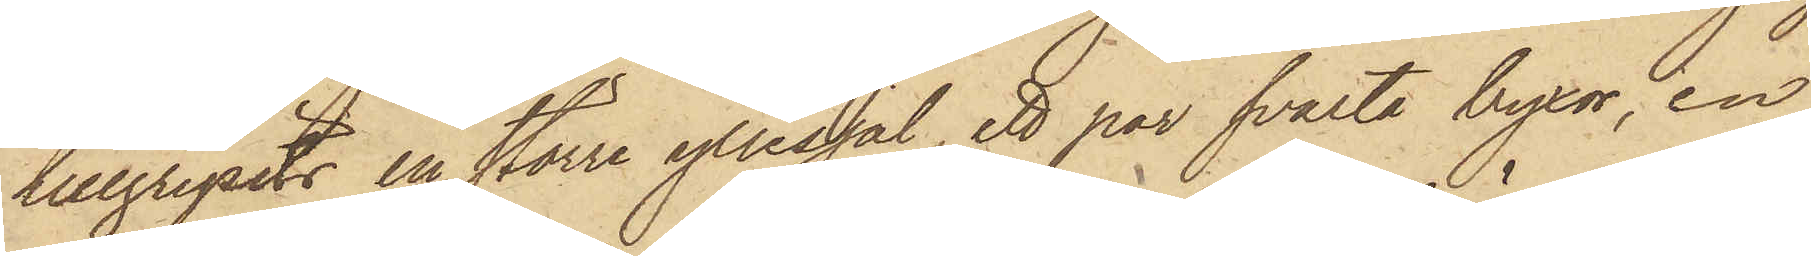tillgripits en större yllesjal, ett par svarta byxor, en
